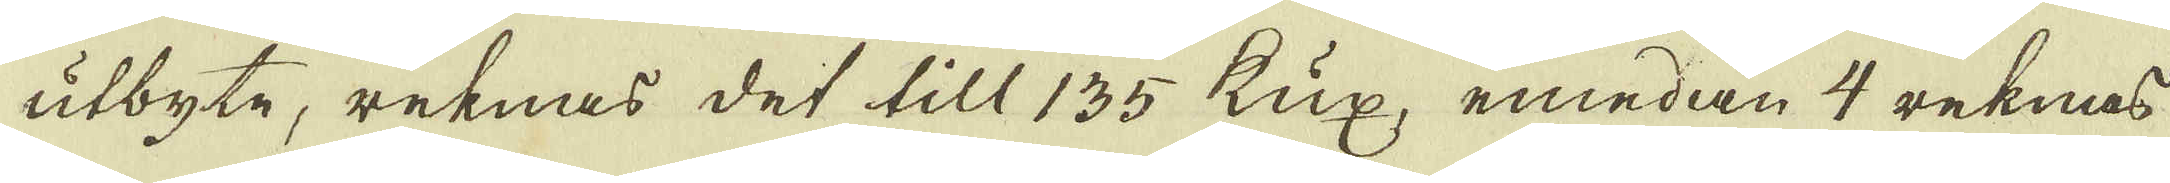utbyte, reknas det till 135 kux, emedan 4 reknas
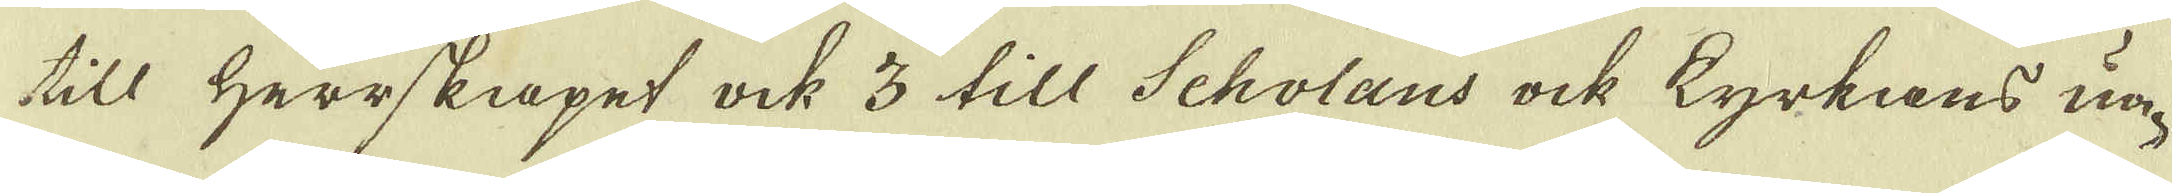till Herrskapet ock 3 till Scholans ock kyrkans un-
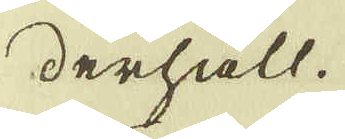derhåll.
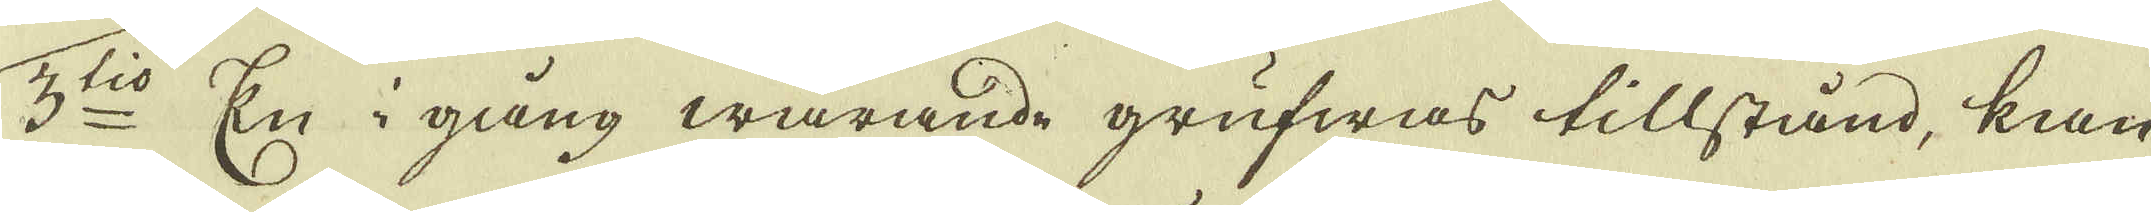3:tio En i gång warande grufwas tillstånd, kan
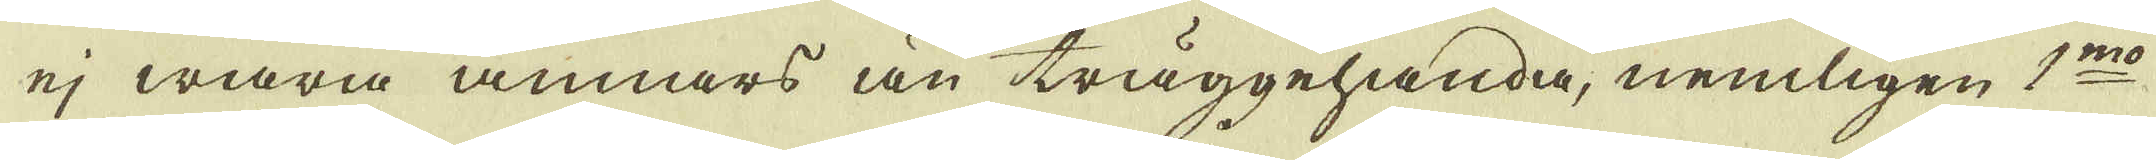ej wara annars än täggehanda, nemligen 1:mo
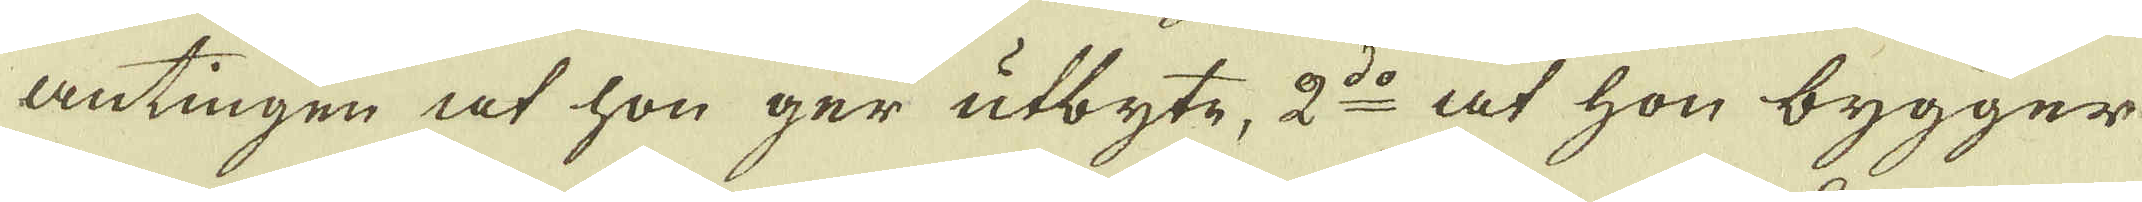antingen at hon ger utbyte, 2:do at hon bygger
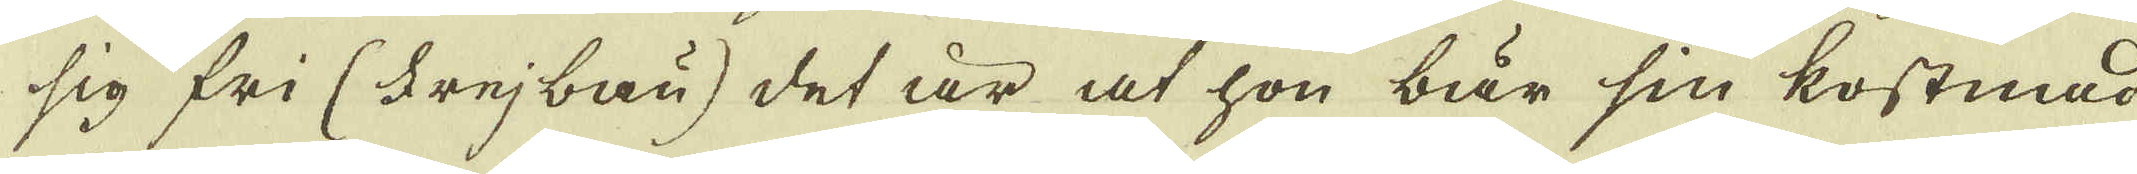sig fri (Frejbau) det är at hon bär sin kostnad
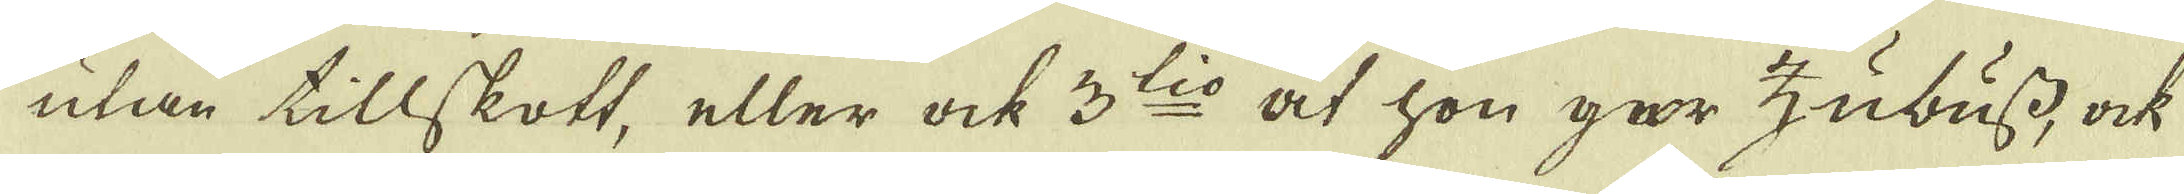utan tillskott, eller ock 3:tio at hon går Zubuss, ock
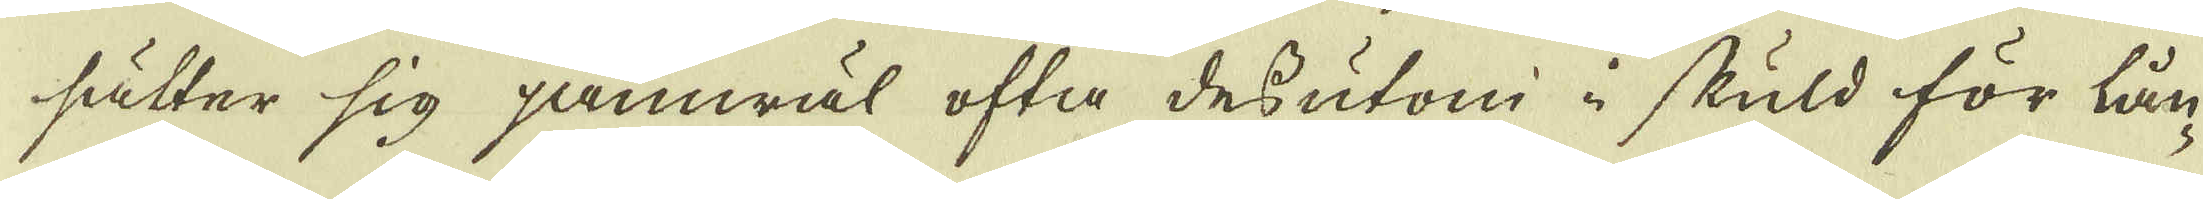sätter sig jämwäl ofta dessutom i skuld för lån-
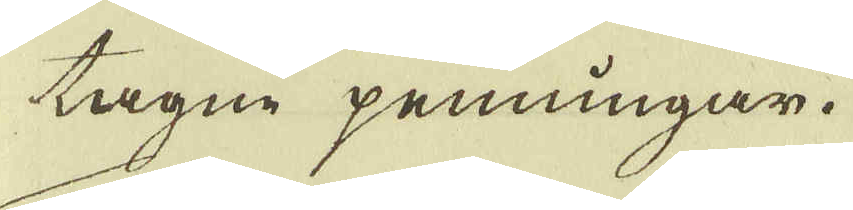tagne penningar.
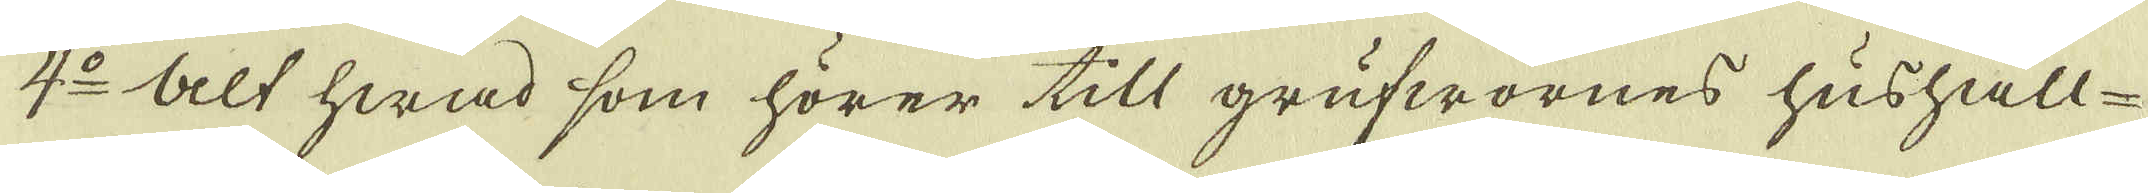4:o Alt hwad som hörer till grufwornes hushåll-
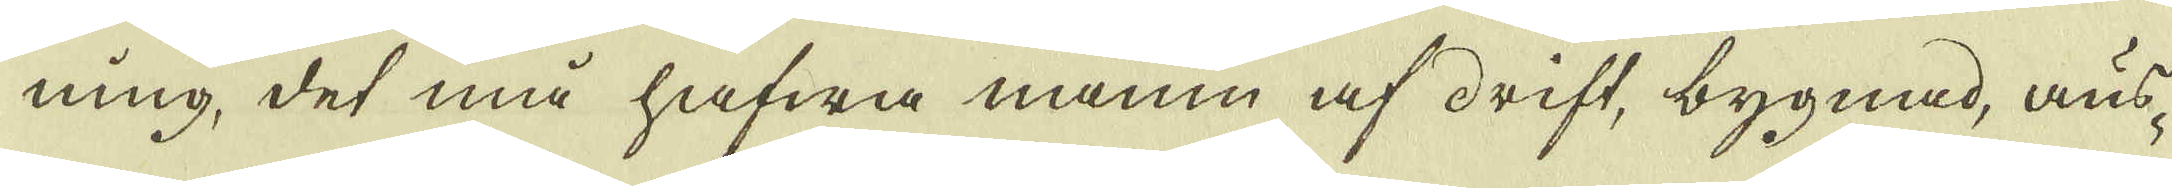ning, det må hafwa namn af drift, bygnad, aus-
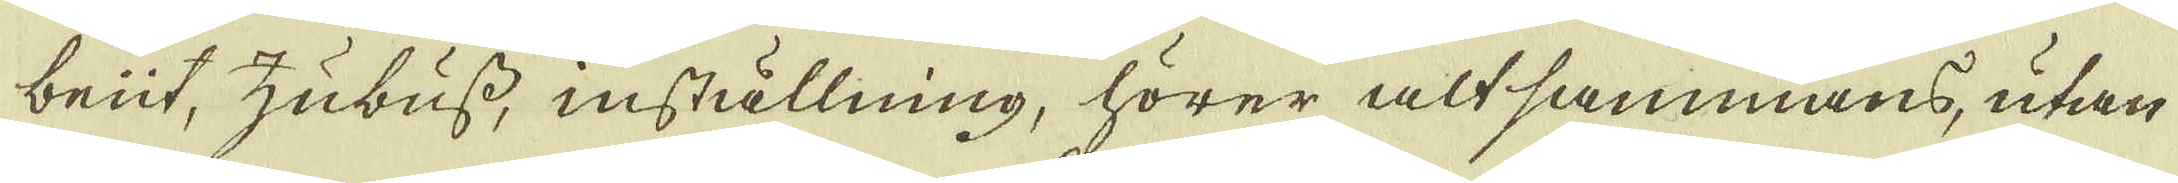beüt, Zubuss, inställning, hörer altsammans, utan
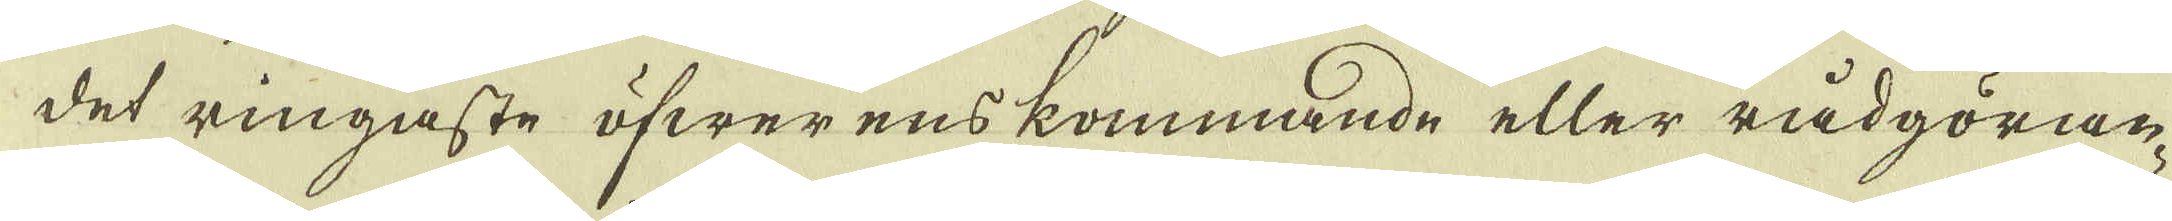det ringaste öfwerenskommande eller rådgöran-
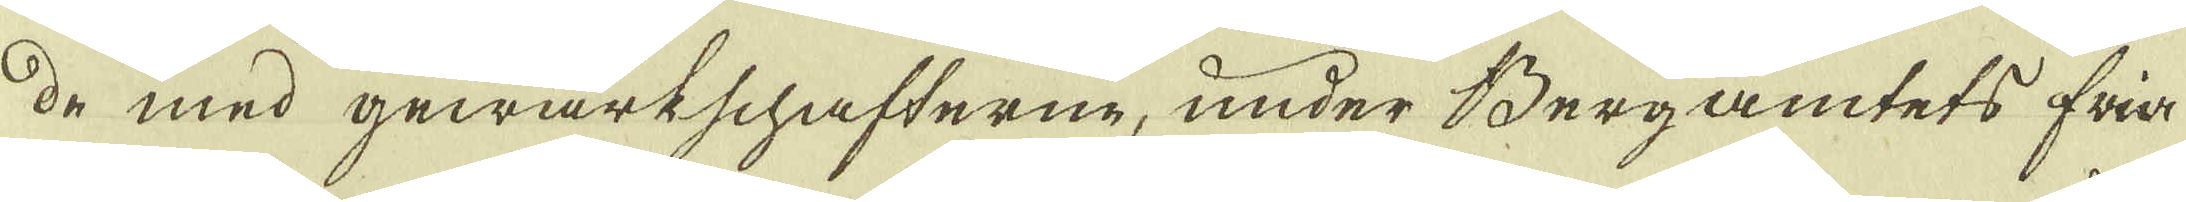de med gewärkschafterne, under Bergamtets fria
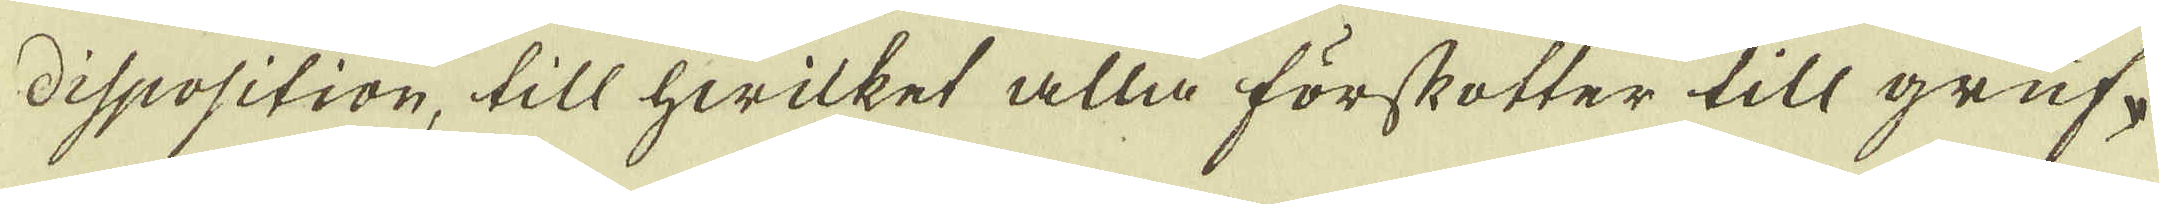disposition, till hwilket alla förskotter till gruf-
